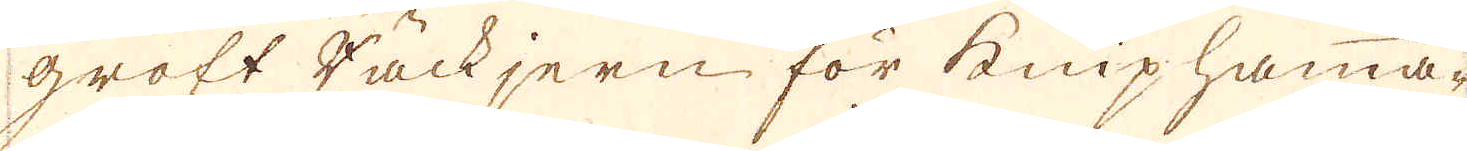groft Tackjern för kniphamma-
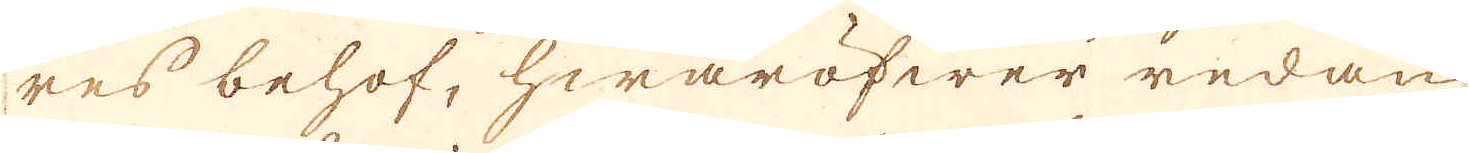res behof, hwaröfwer redan
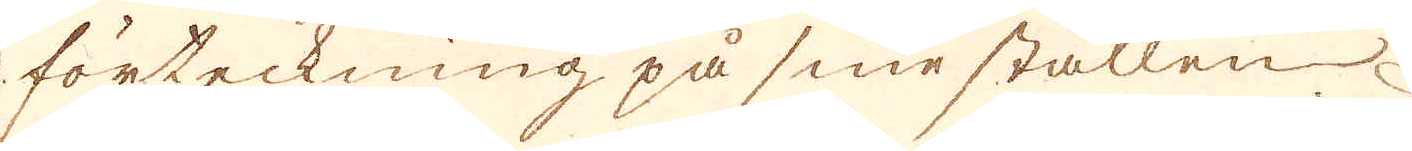förteckning på sine ställen
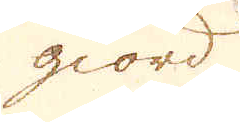giord
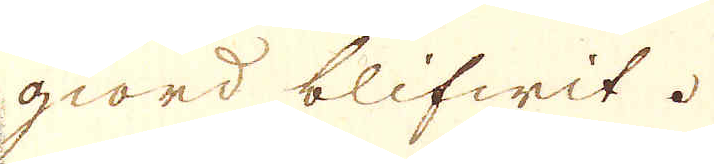giord blifwit.
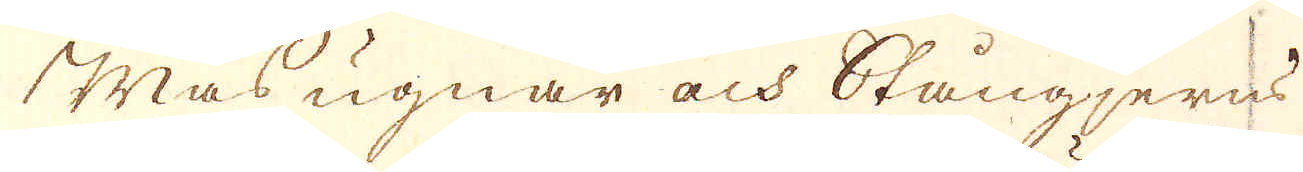Masugnar och Stångjerns
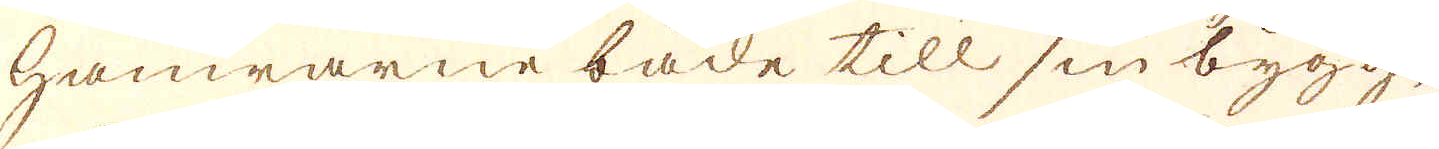hamrarne både till sin bygg-
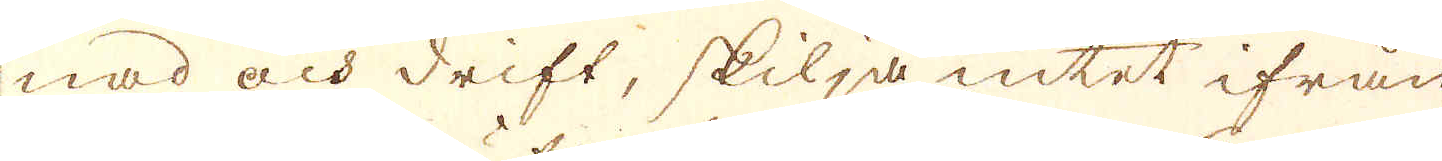nad och drift, skilja intet ifrån
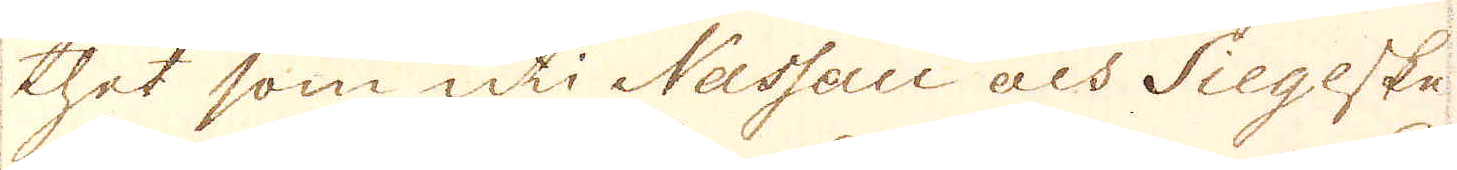thet som uti Nassau och Siegeske,
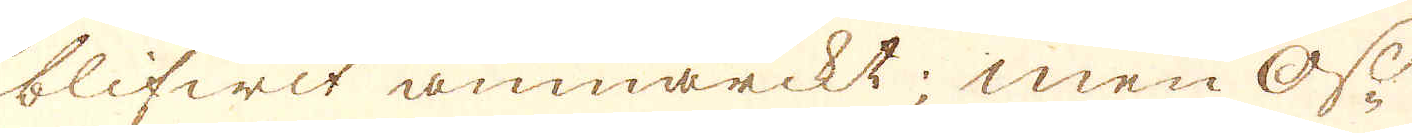blifwit anmärckt; men Os-
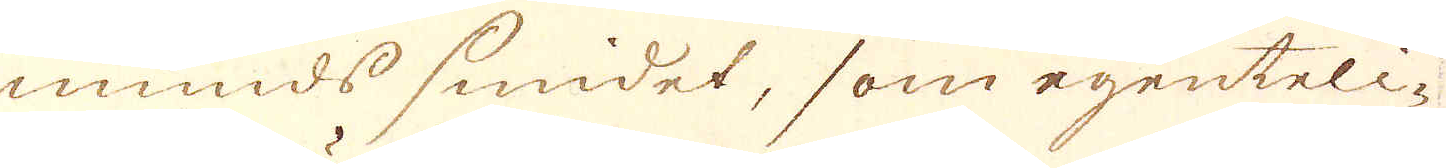munds smidet, som egenteli-
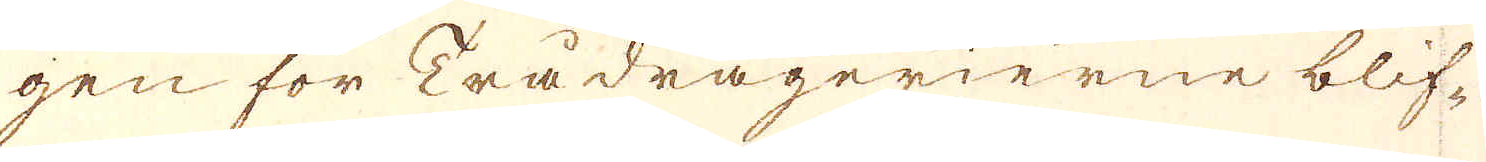gen för Trådragerierne blif-
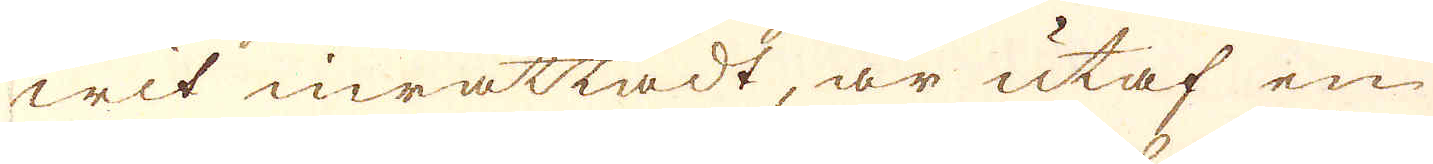wit inrättadt, är utaf en
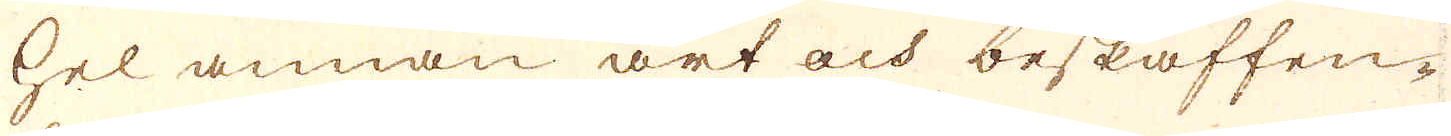hel annan art och beskaffen-
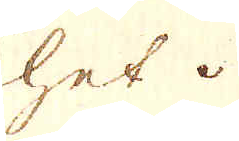het.
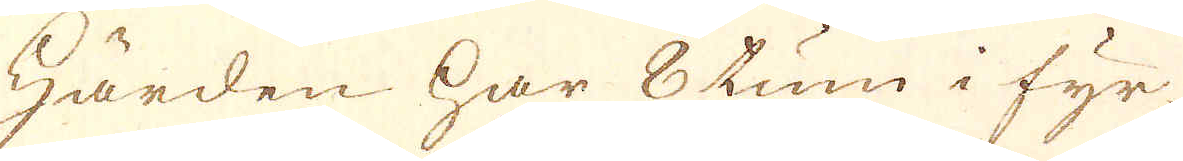Härden har 8 tum i fyr-
